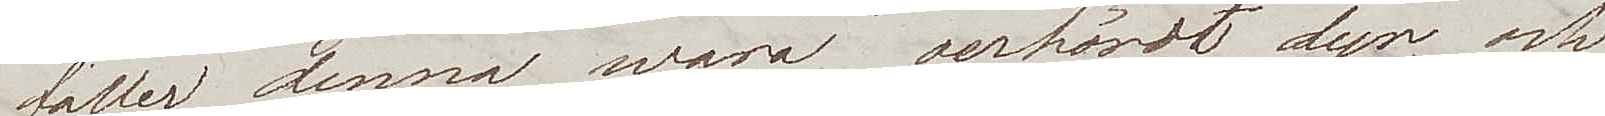faller denna wara oerhördt dyr, och
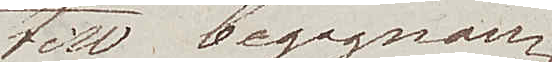till begagnan¬
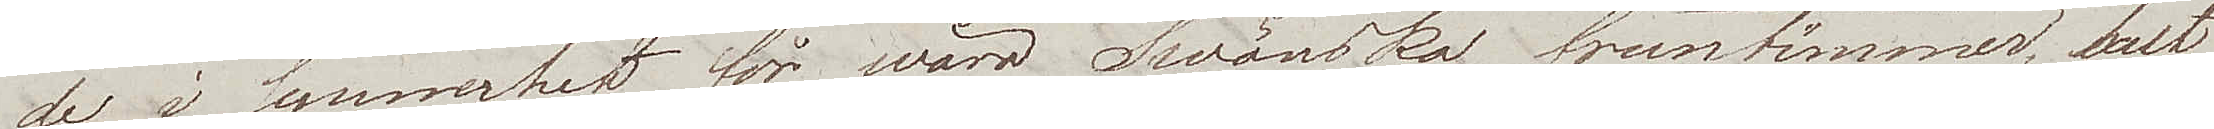de i synnerhet för wåra Swänska fruntimmer helt
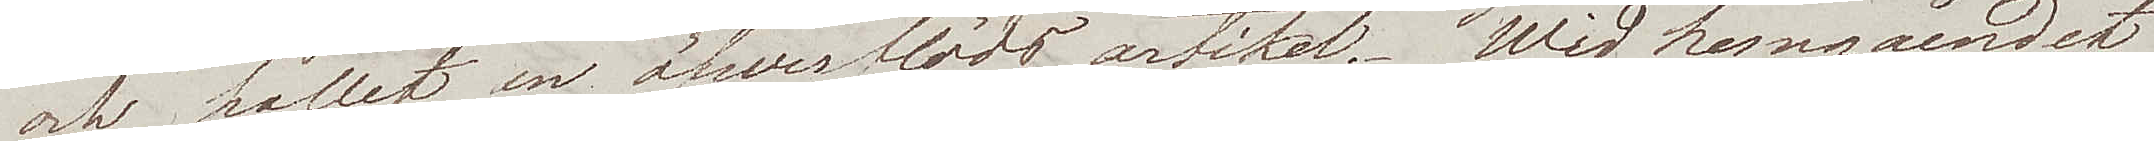och hållet en öfwerflödsartikel. Wid hemgåendet
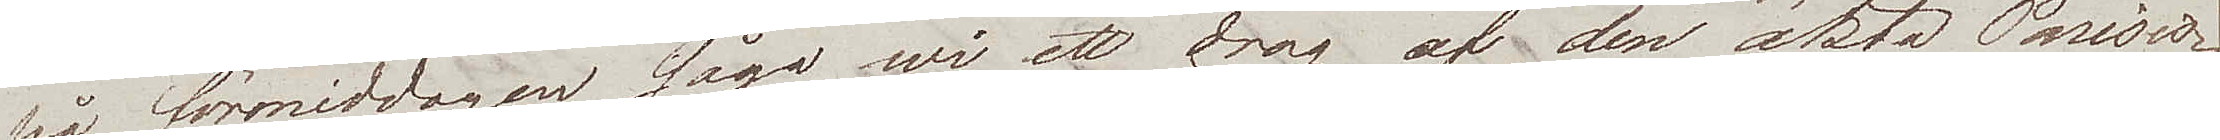på förmiddagen sågo wi ett drag af den äkta Parisis¬
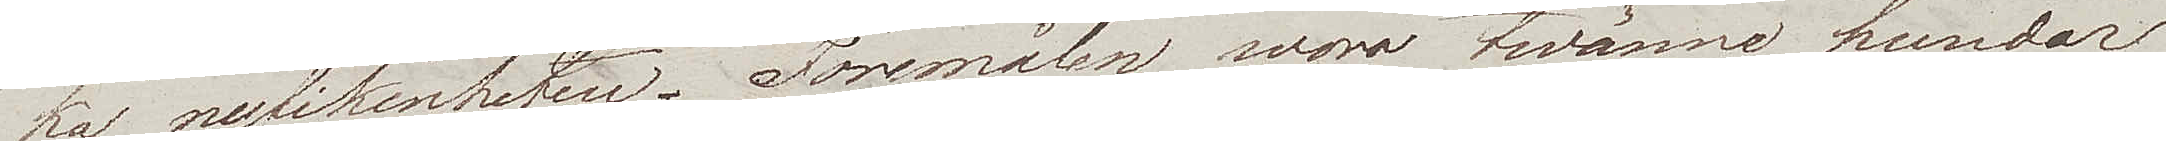ka nyfikenheten. Föremålen woro twänne hundar
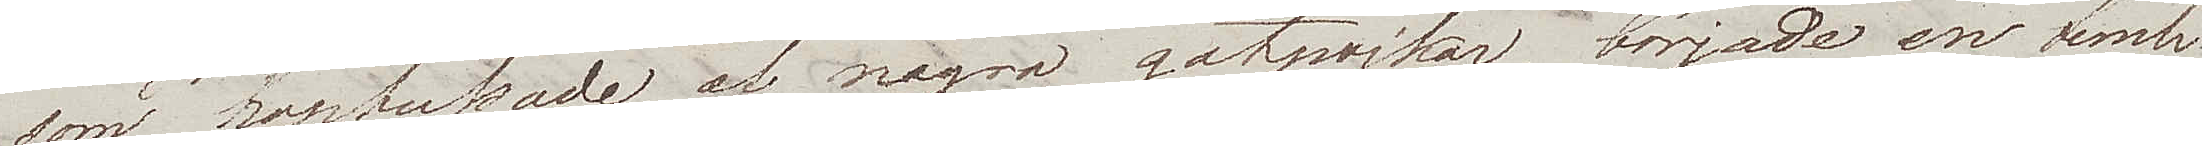som hoptussade af några gatupojkar, började en temli¬
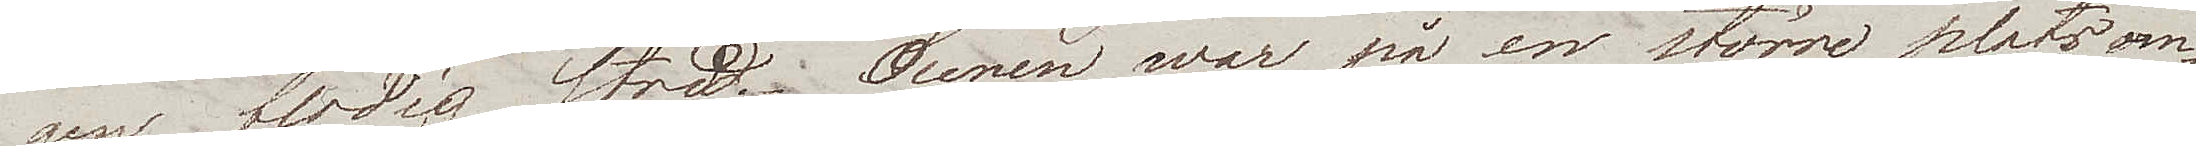gen blodig strid. Scenen war på en större plats om¬
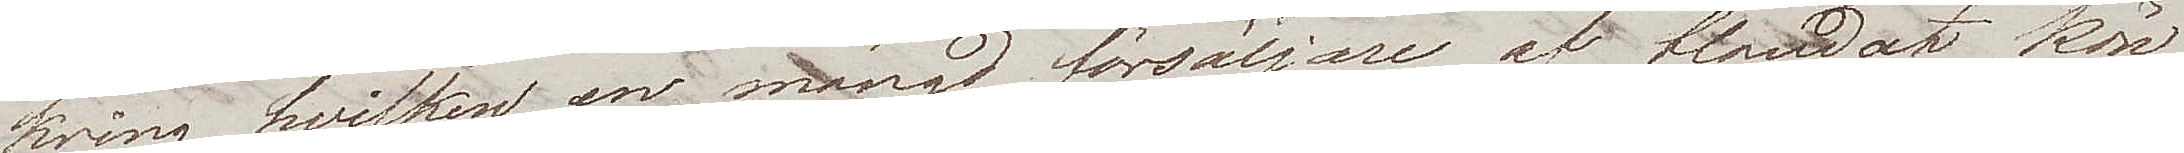kring hvilken en mängd försäljare af blandad kör
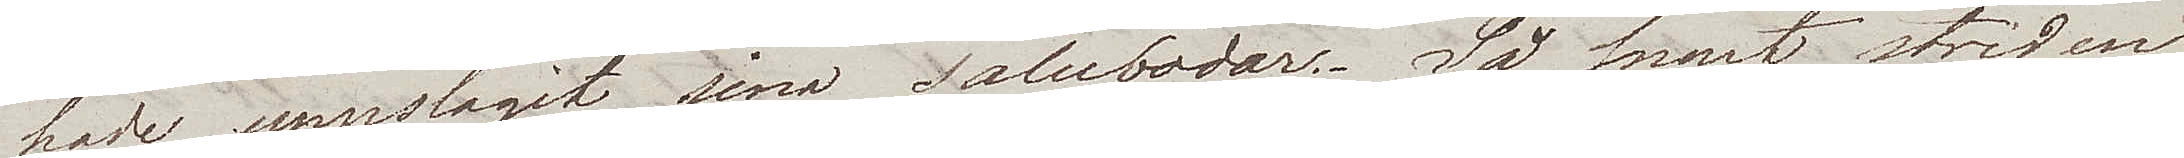hade uppslagit sina salubodar. Så snart striden
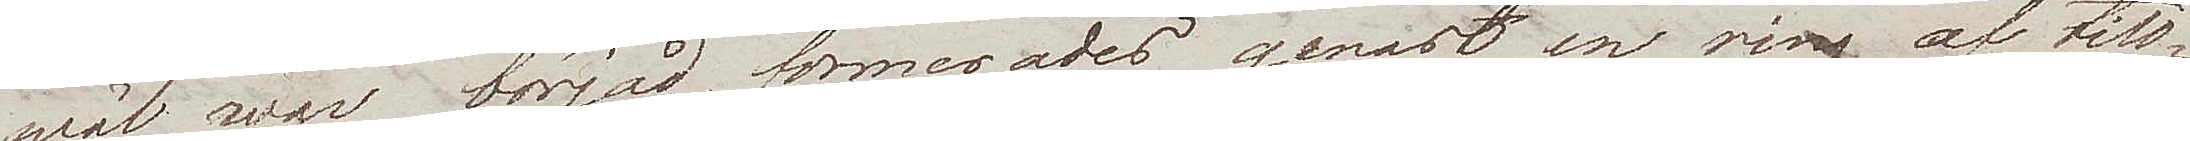wäl war börjad, formerades genast en ring af till¬
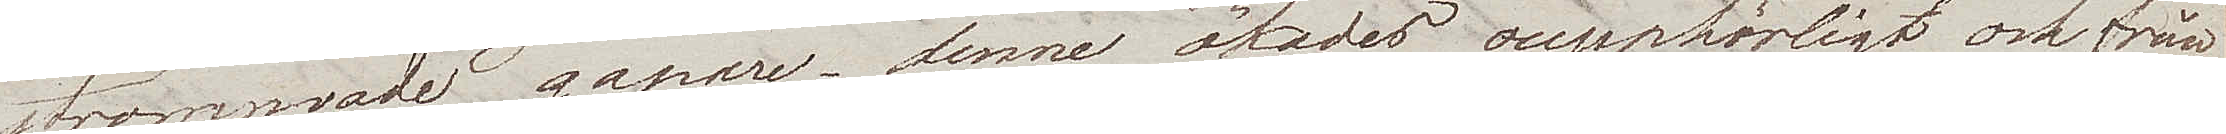strömmande gapare – denne ökades oupphörligt och från
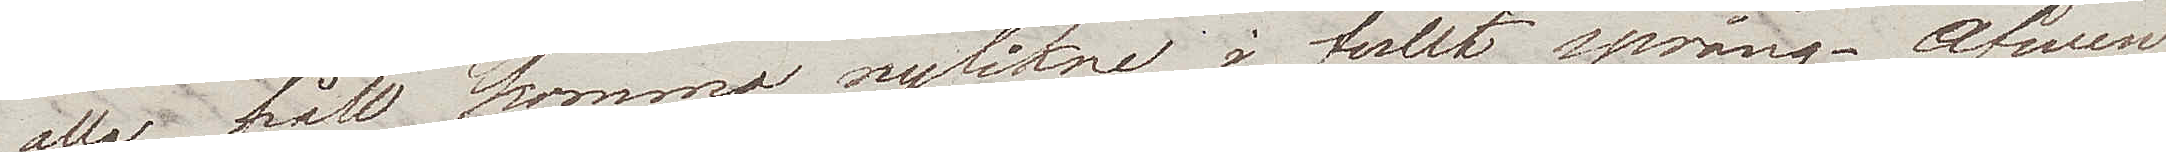alla håll kommo nyfikne i fullt språng. Äfven
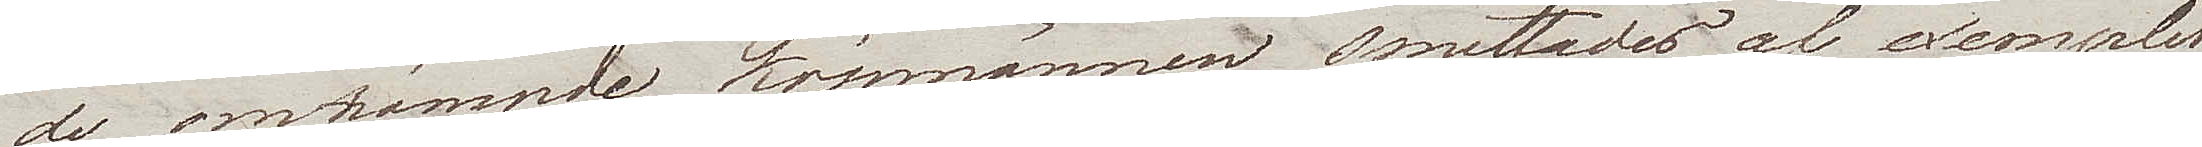de omnämnde köpmännen smittades af exemplet,
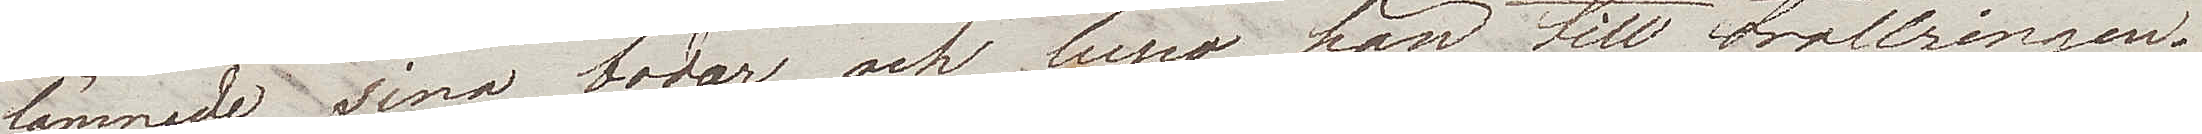lämnade sina bodar och lupo hän till trollringen.
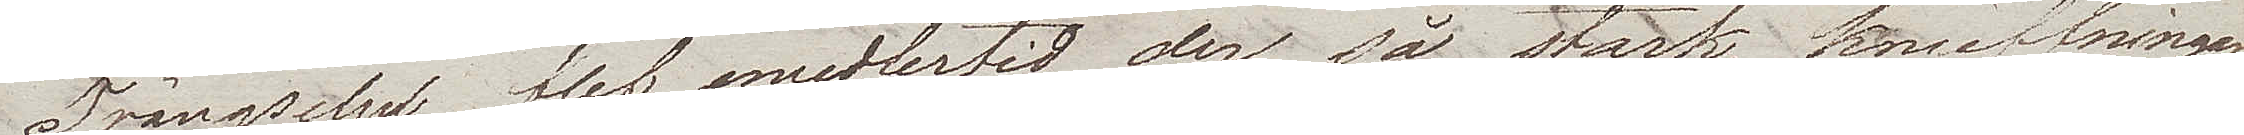Trängseln blef emedlertid der så stark, knuffningar
